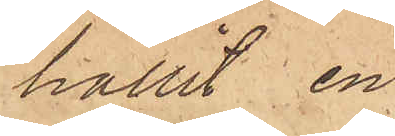hållit en
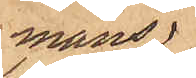mans¬
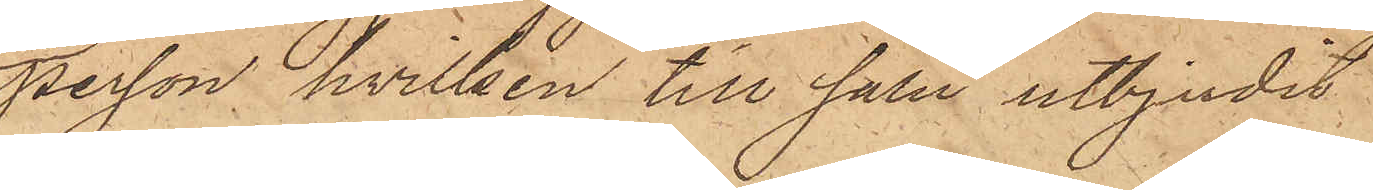person, hvilken till salu utbjudit
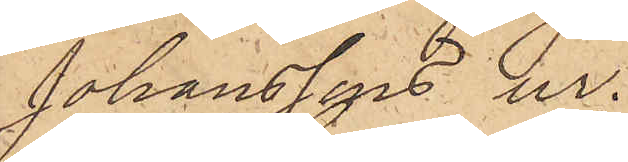Johanssons ur.
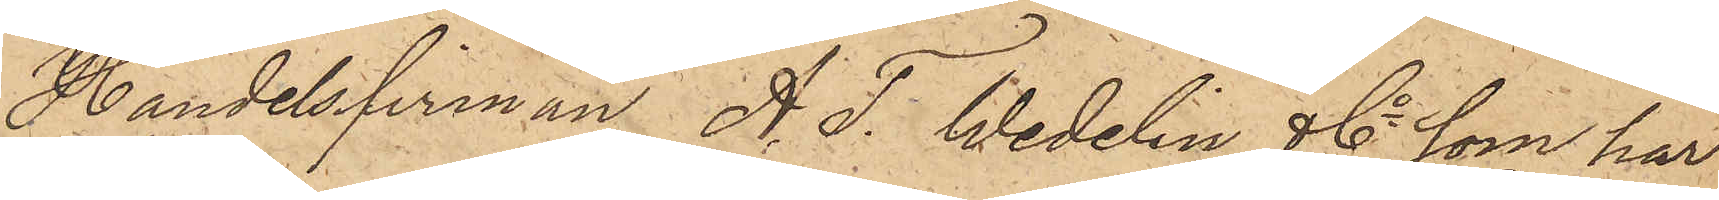Handelsfirman A. T. Wedelin & Co som har
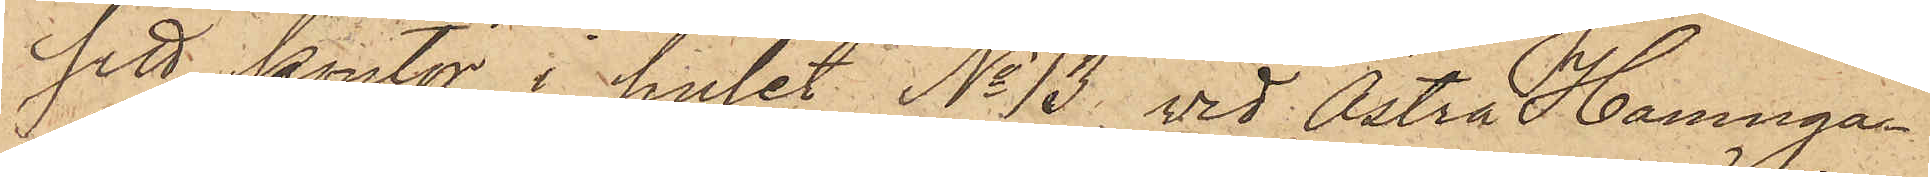sitt kontor i huset No 13 vid Östra Hamnga¬
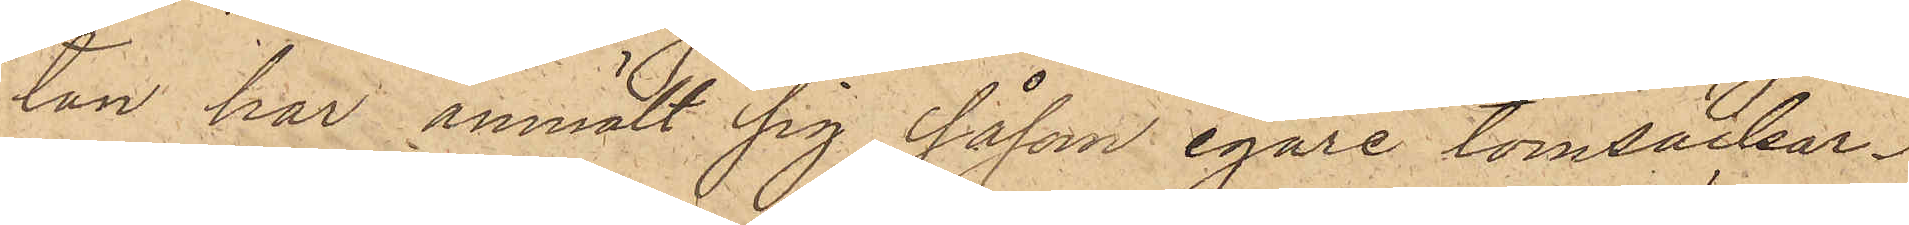tan har anmält sig såsom egare tomsäckar¬
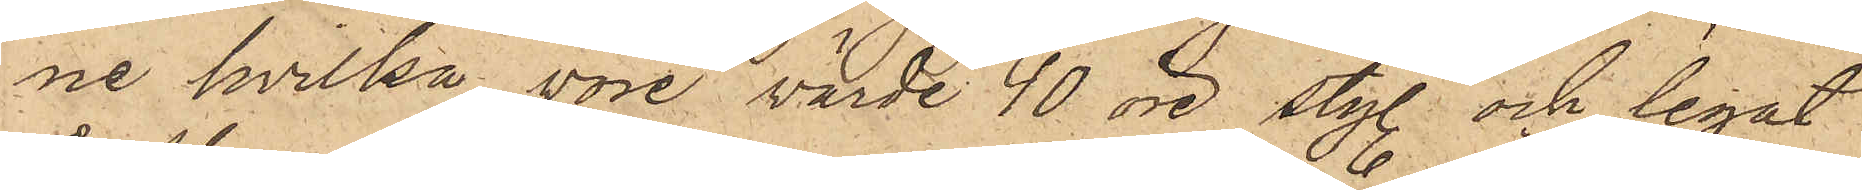ne, hvilka vore värde 40 öre sty. och legat
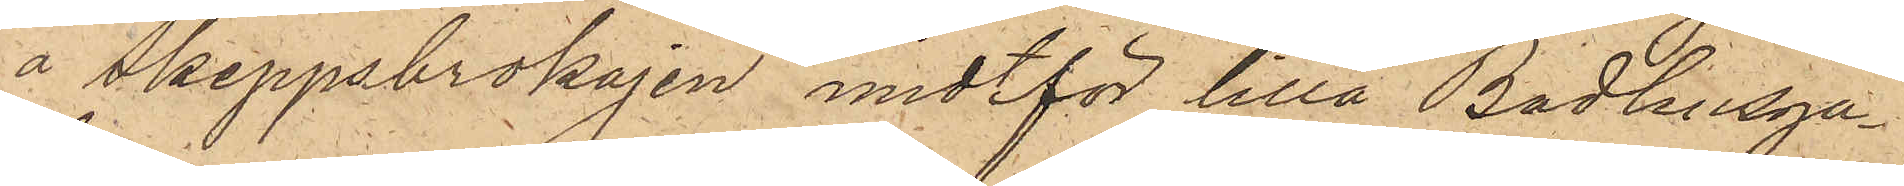å Skeppsbrokajen midtför lilla Badhusga¬
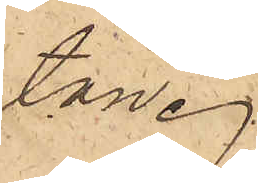tan.
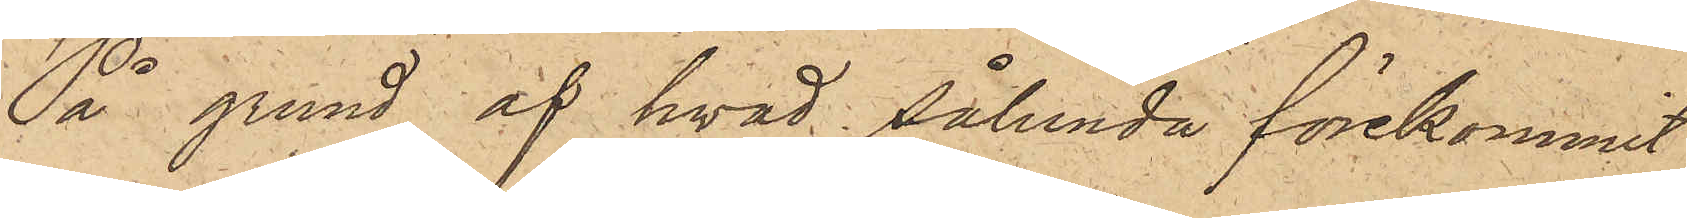På grund af hvad sålunda förekommit
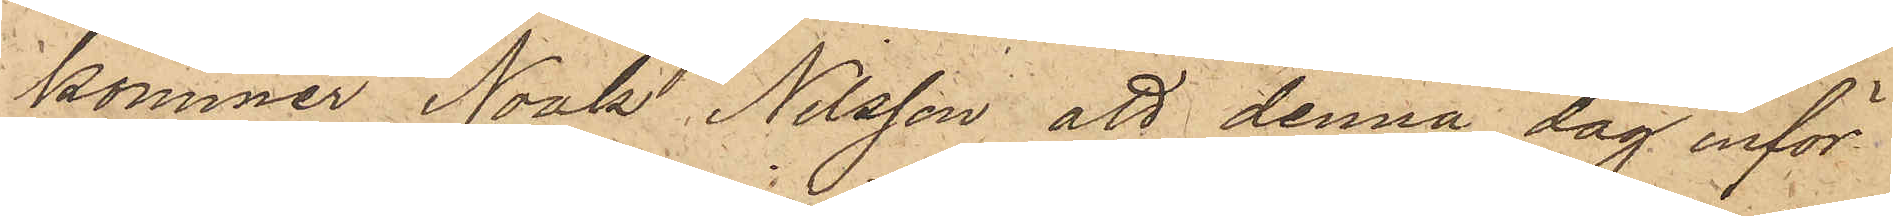kommer Noak Nilsson att denna dag inför
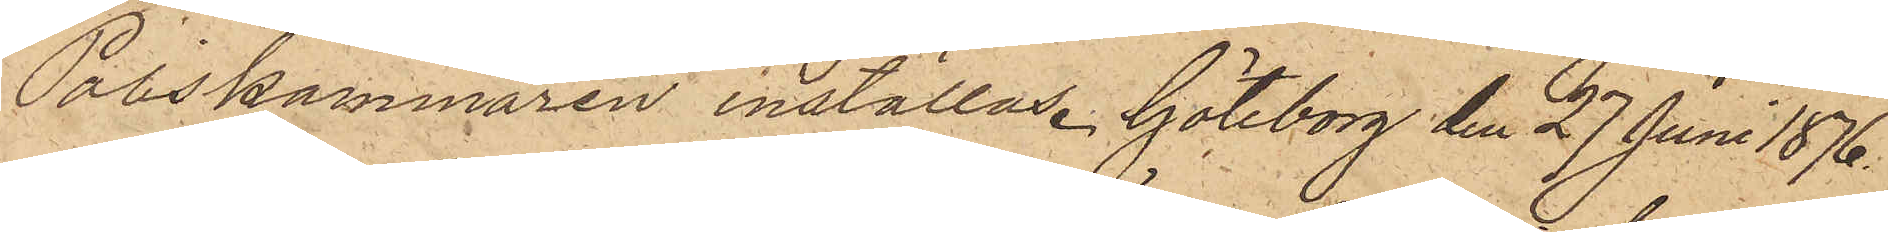Poliskammaren inställas. Göteborg den 27 Juni 1876.
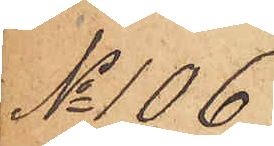No 106
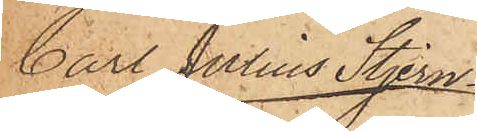Carl Julius Stjern¬
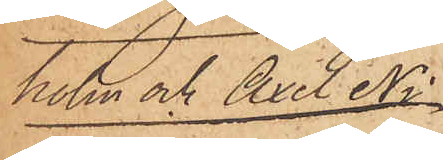holm och Axel Ni¬
